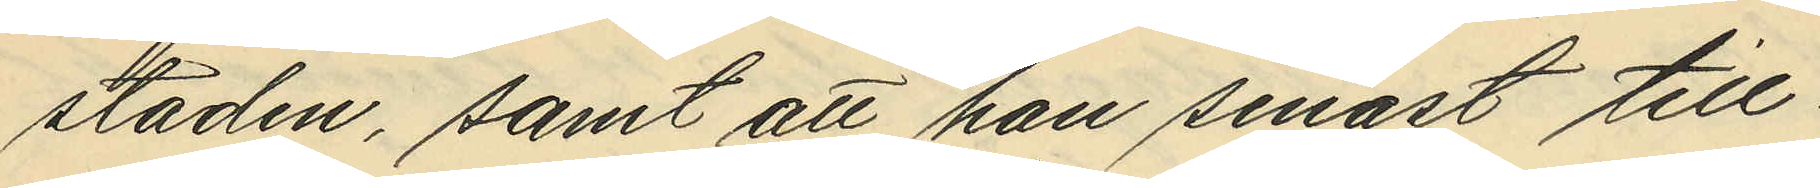staden, samt att han senast till¬
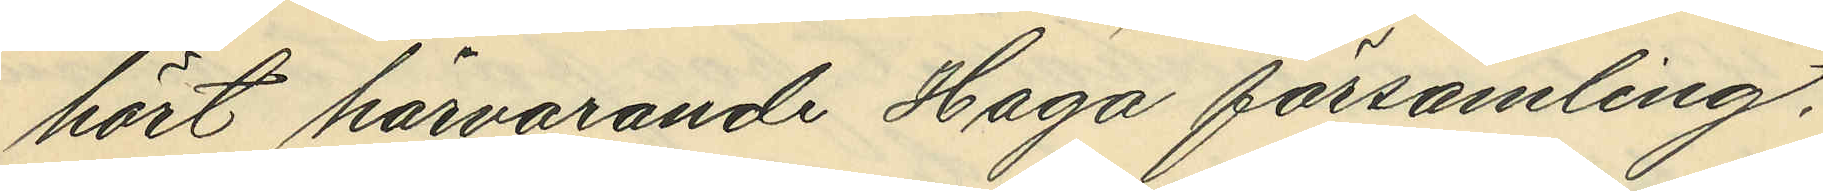hört härvarande Haga församling,
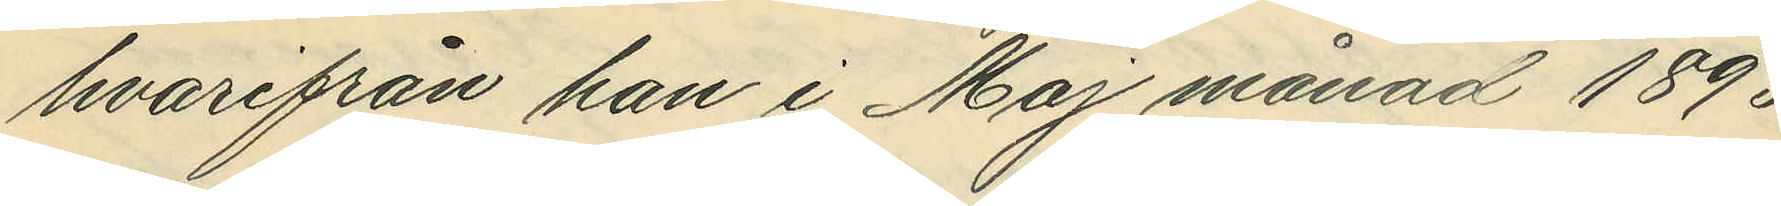hvarifrån han i Maj månad 1893
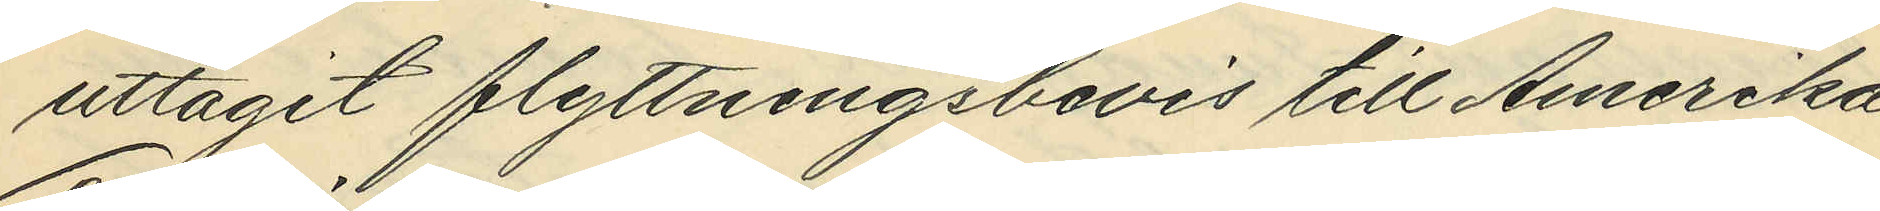uttagit flyttningsbevis till Amerika
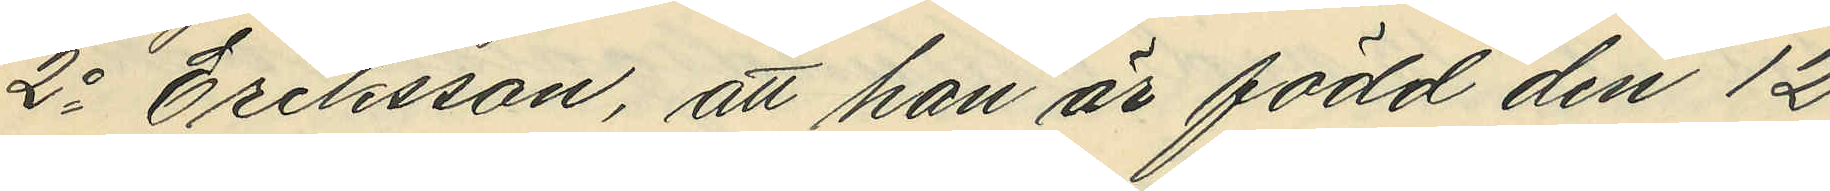2o Eriksson, att han är född den 12
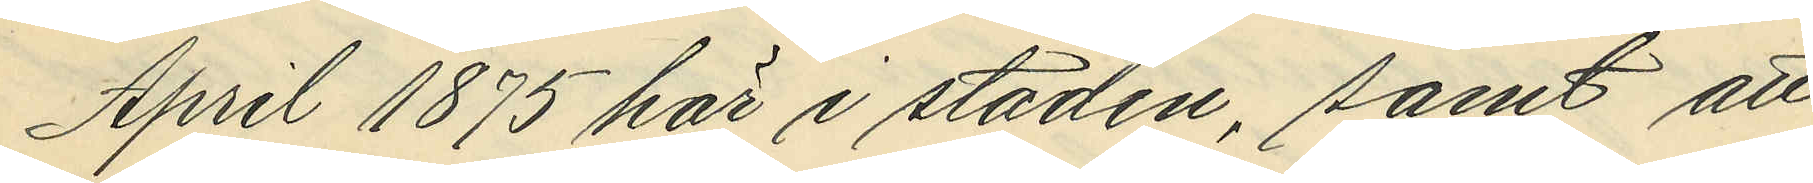April 1875 här i staden, samt att
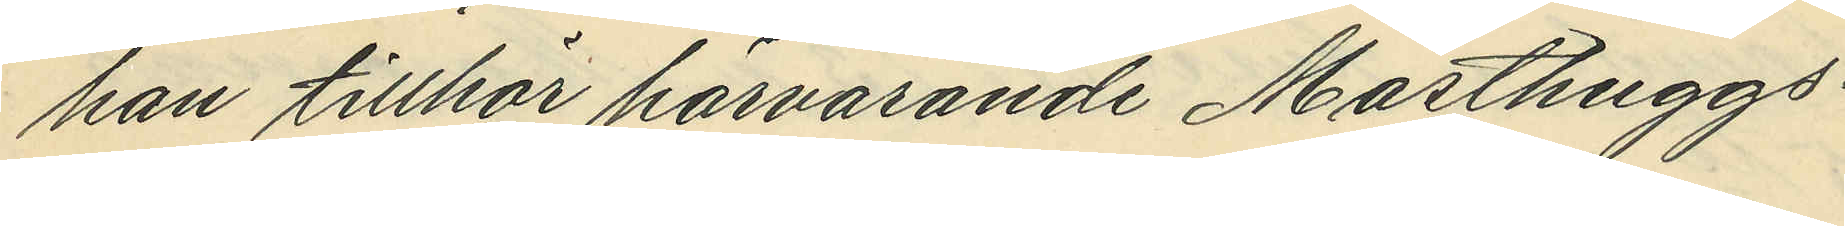han tillhör härvarande Masthuggs¬
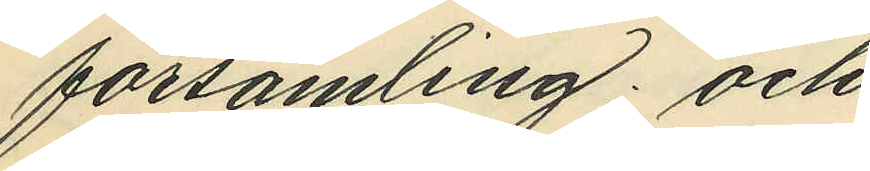församling; och
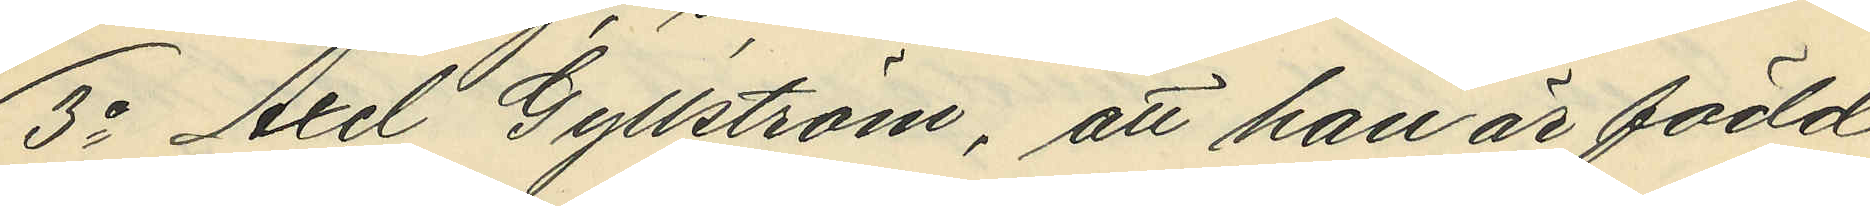3o Axel Gyllström, att han är född
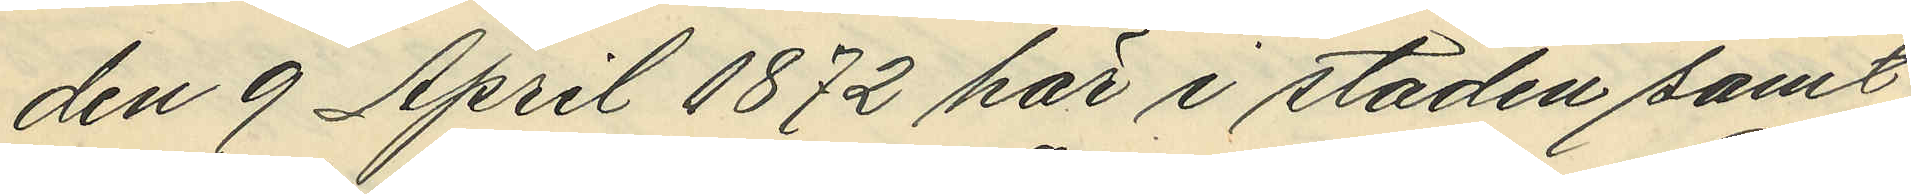den 9 April 1872 här i staden samt
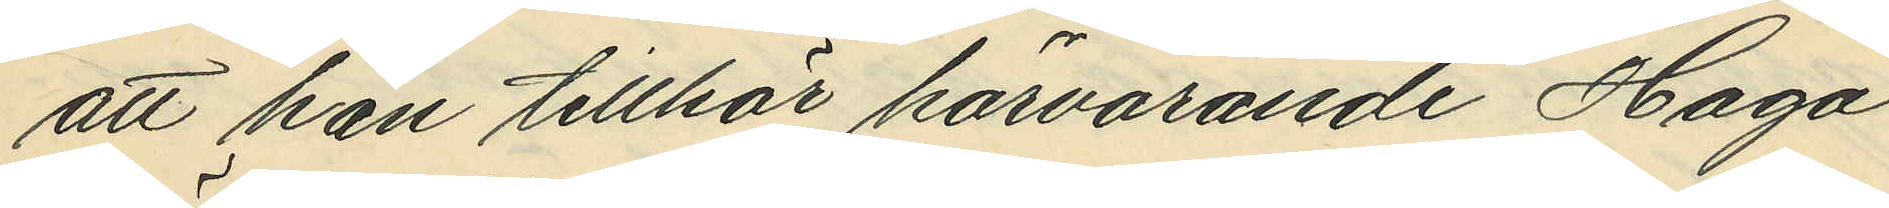att han tillhör härvarande Haga
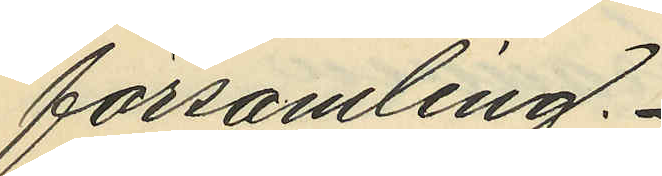församling.
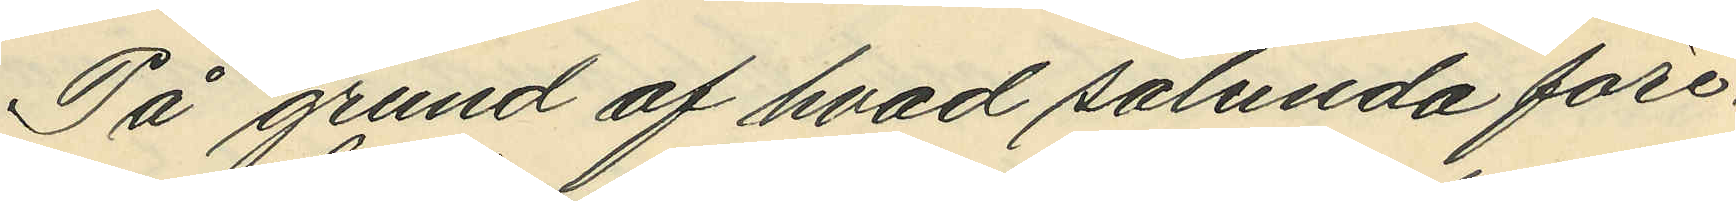På grund av hvad sålunda före¬
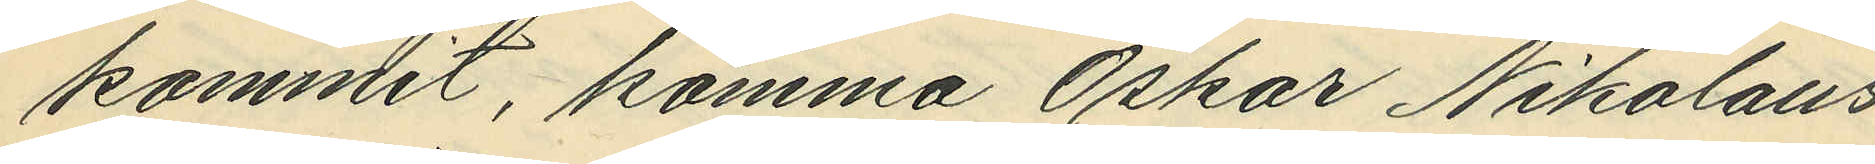kommit, komma Oskar Nikolaus¬
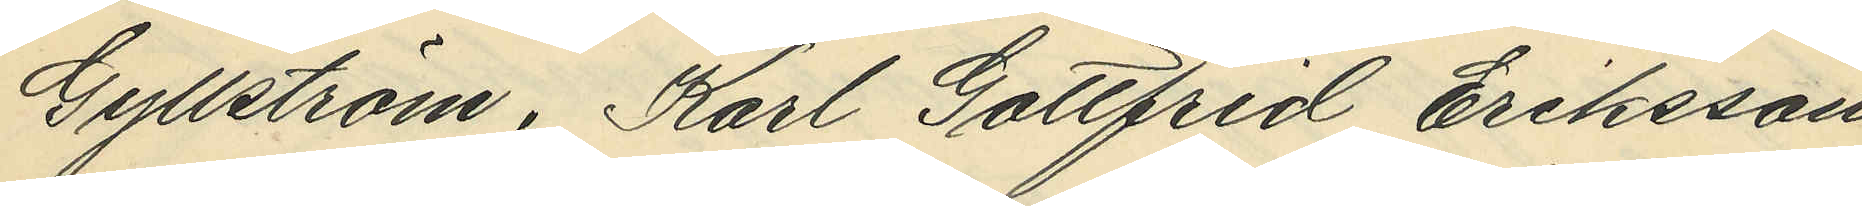Gyllström, Karl Gottfrid Eriksson
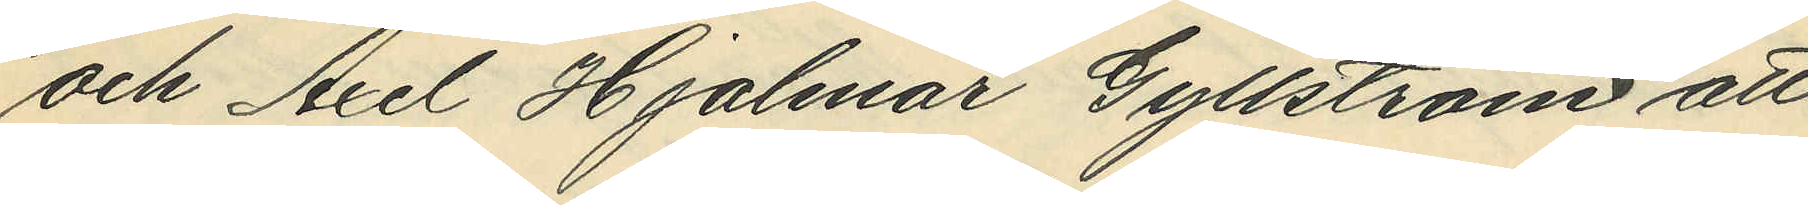och Axel Hjalmar Gyllström att
